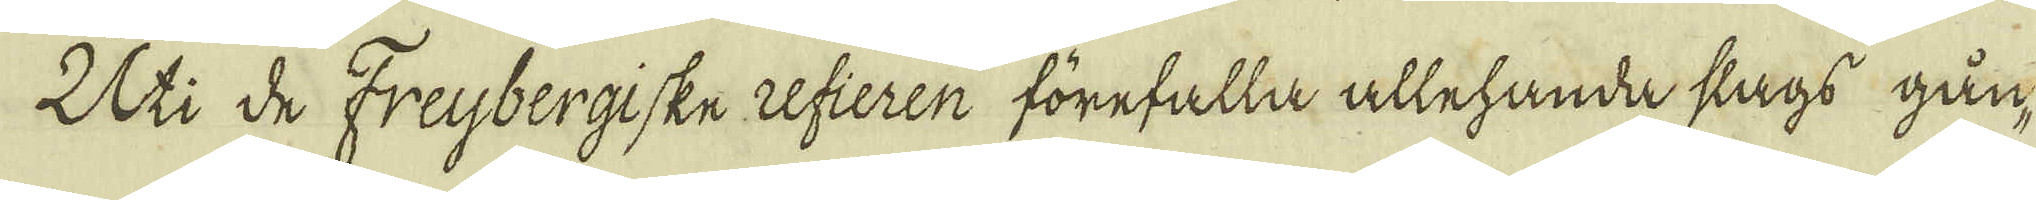Uti de Freybergiske refieren förefalla allehanda slags gån-
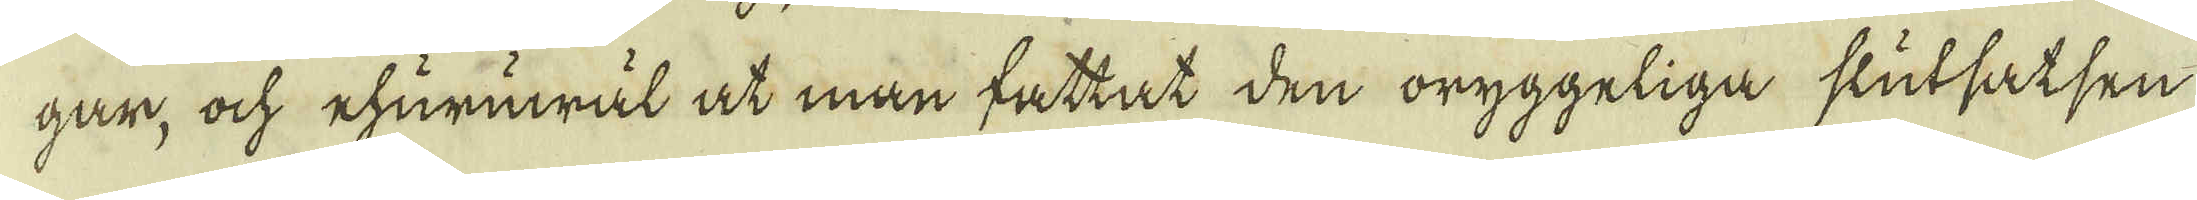gar, ock ehuruwäl at man fattat den oryggeliga slutsatsen
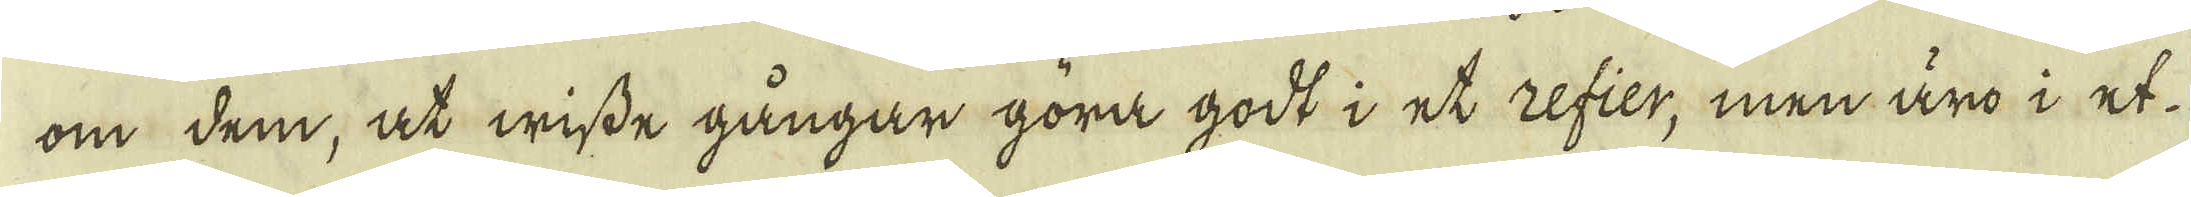om dem, at wisse gångar göra godt i et refier, men äro i et
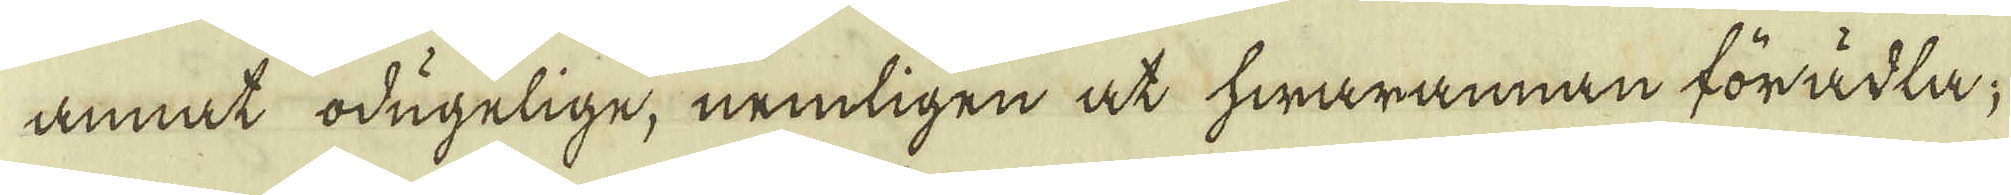annat odugelige, nemligen at hwarannan förädla;
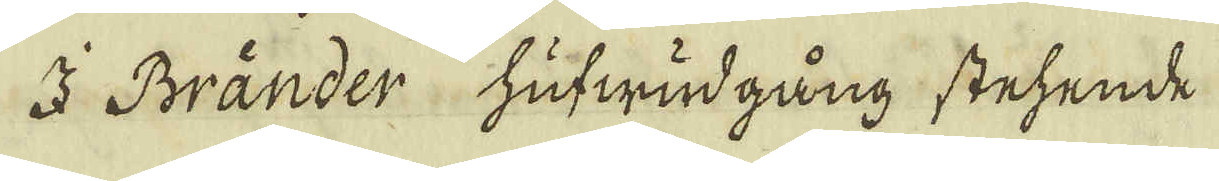I Bränder hufwudgång stehende
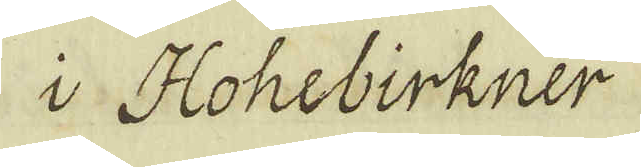i Hohebirkner
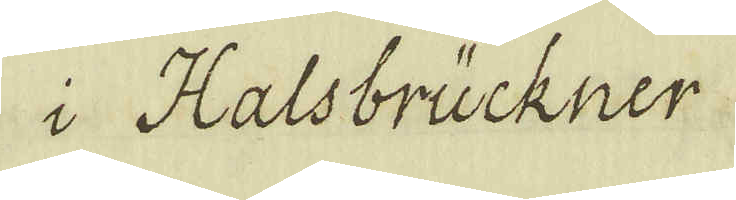i Halsbrückner
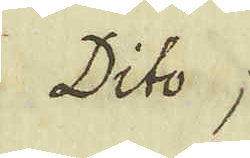Dito;
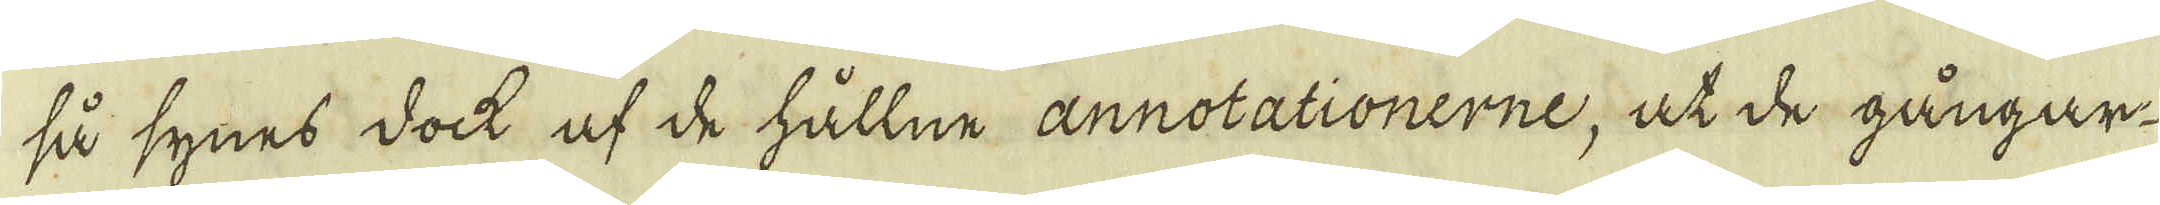så synes dock af de hållne annotationerne, at de gångar-
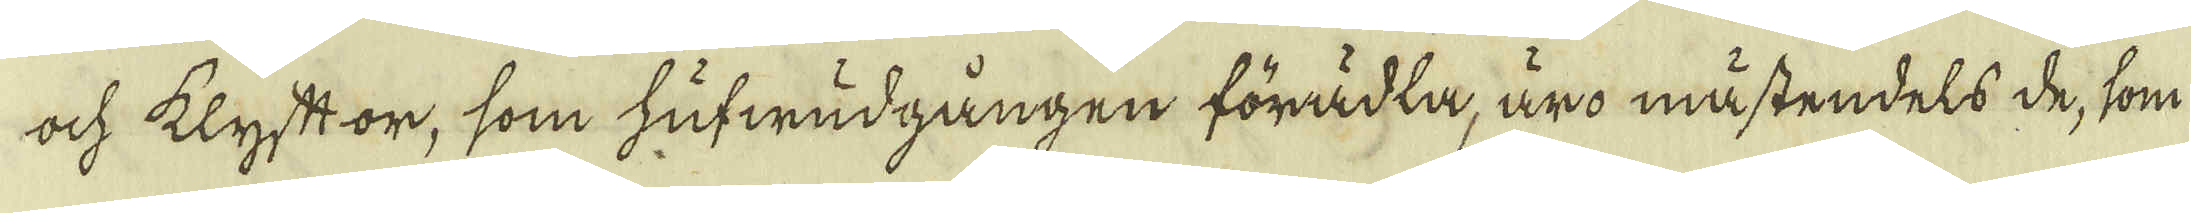ock klyftor, som hufwudgången förädla, äro mästendels de, som
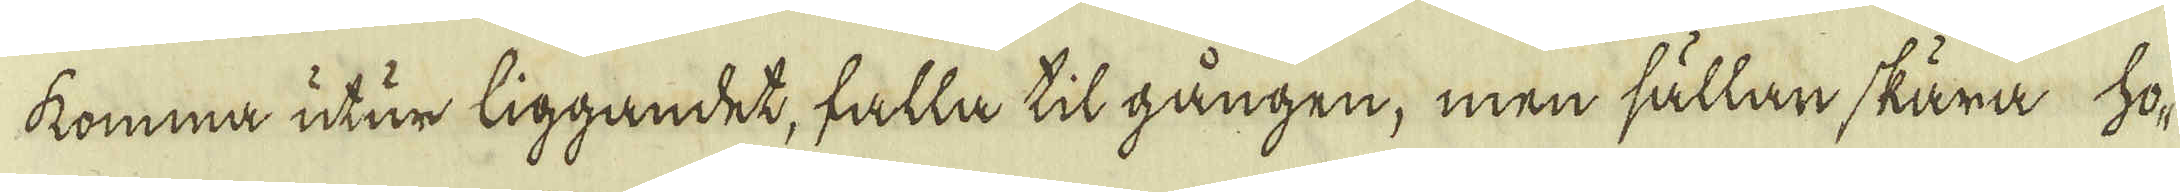komma utur liggandet, falla til gången, men sällan skära ho-
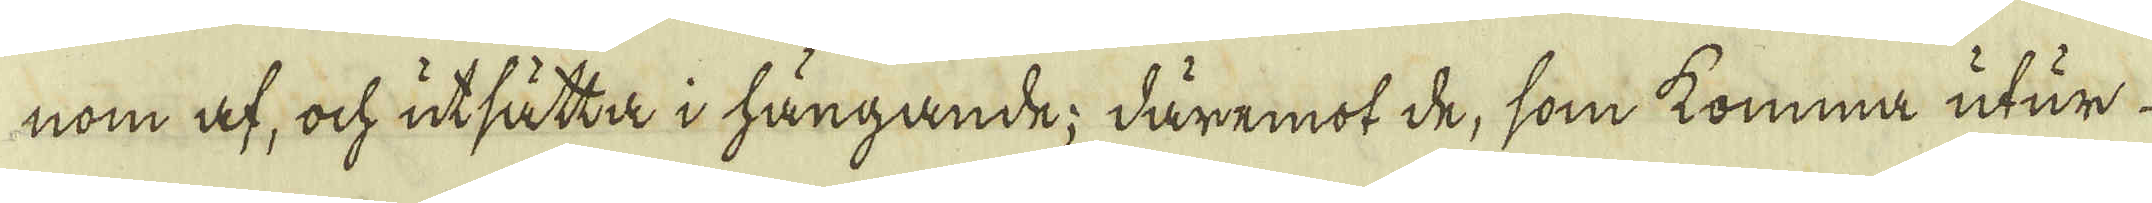nom af, ock utsätta i hängande; däremot de, som komma utur
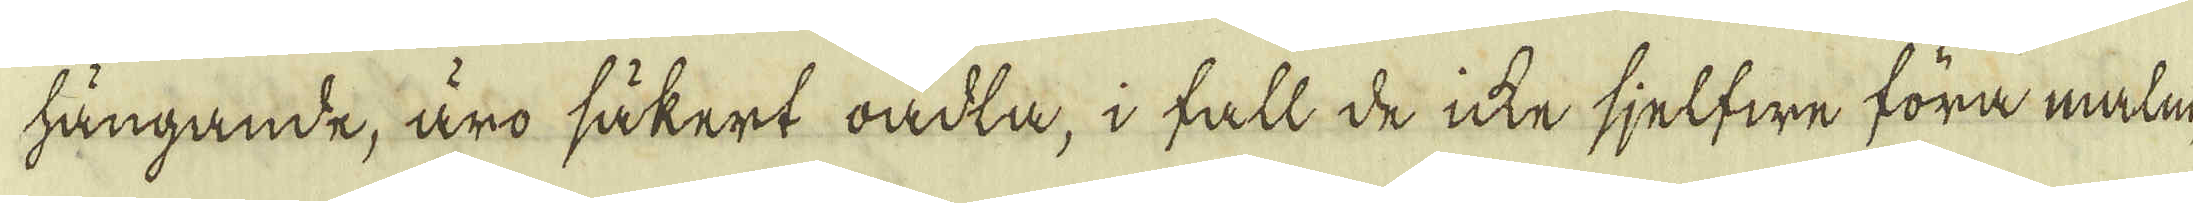hängande, äro säkert oäckta, i fall de icke sjelfwe föra malm,
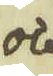och
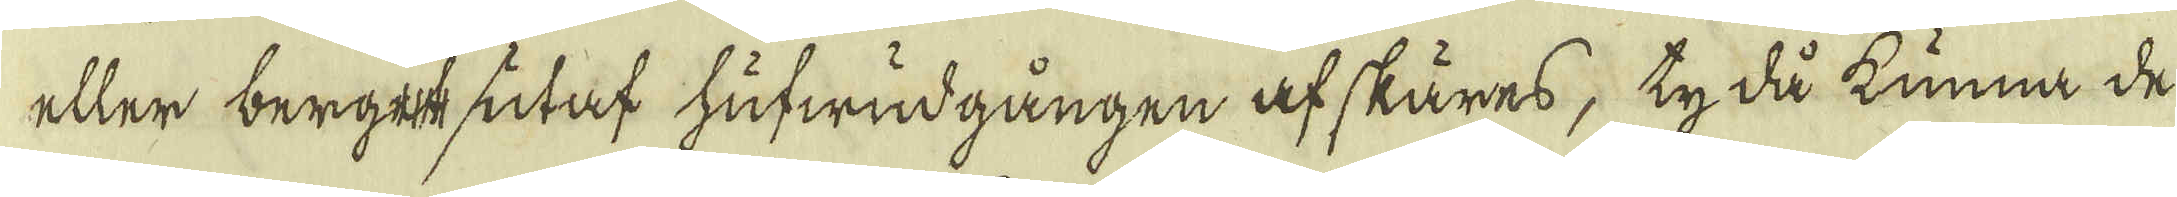eller berget utaf hufwudgången af skäres; ty då kunna de
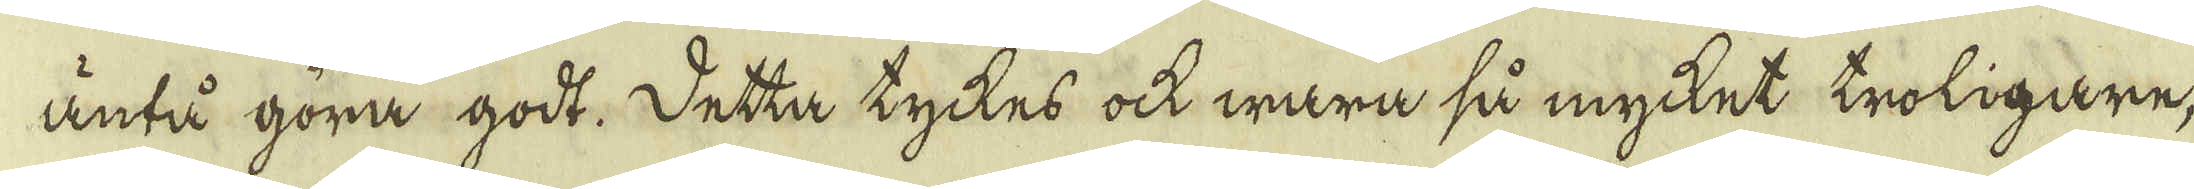äntå göra godt. Detta tyckes ock wara så mycket troligare,
